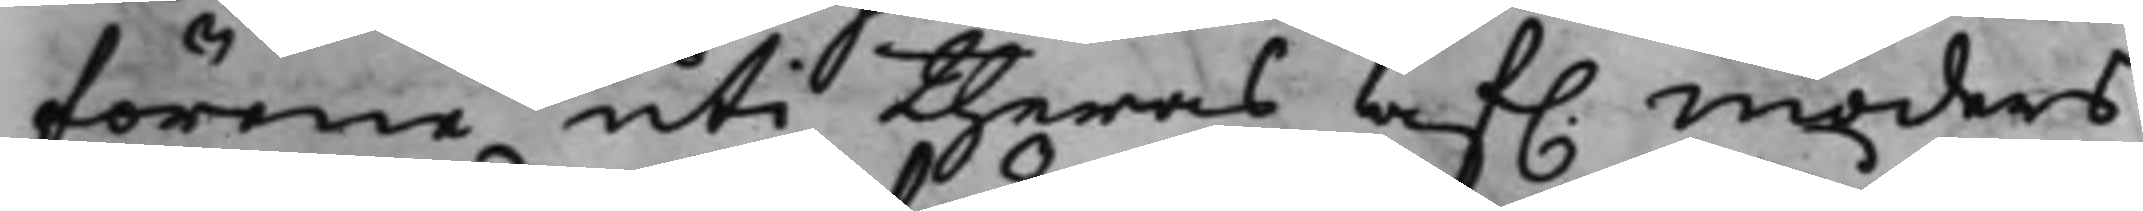förene uti theras af. moders
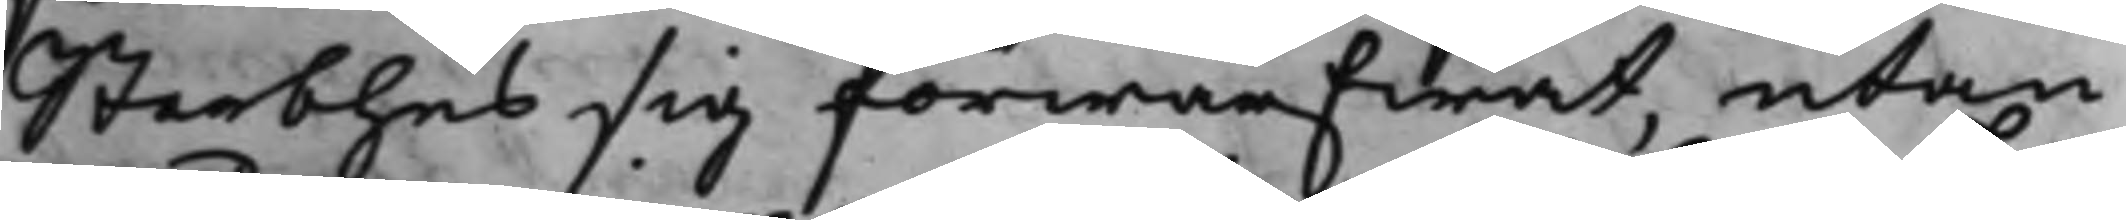Sterbhus sig förwärfwat, utan
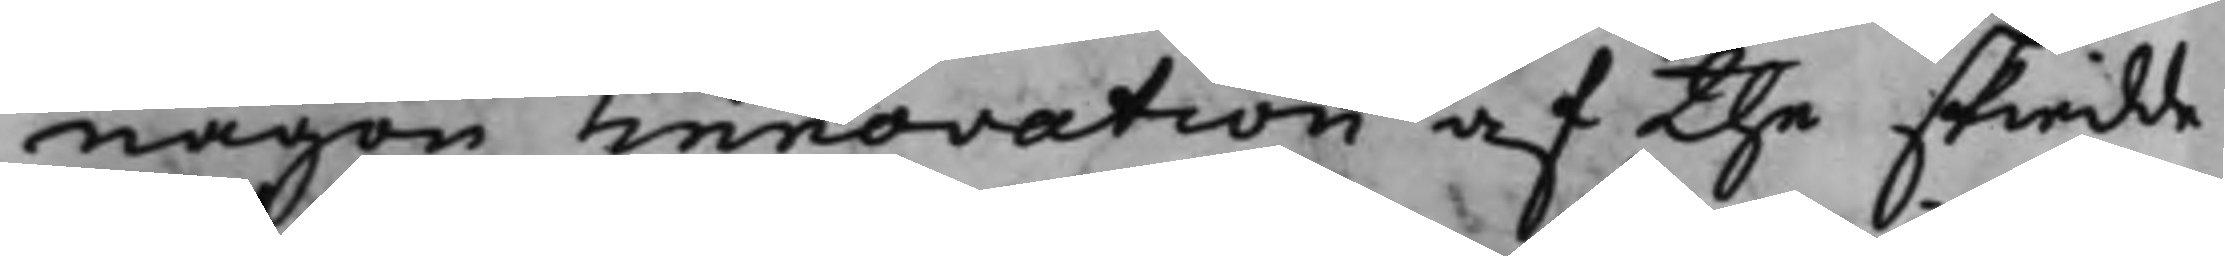någon innovation af the skiedde
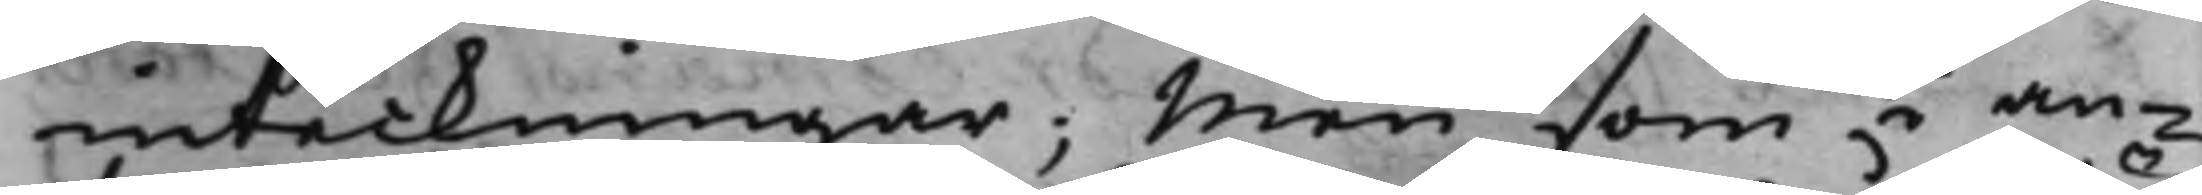inteckningar; Men som i an¬
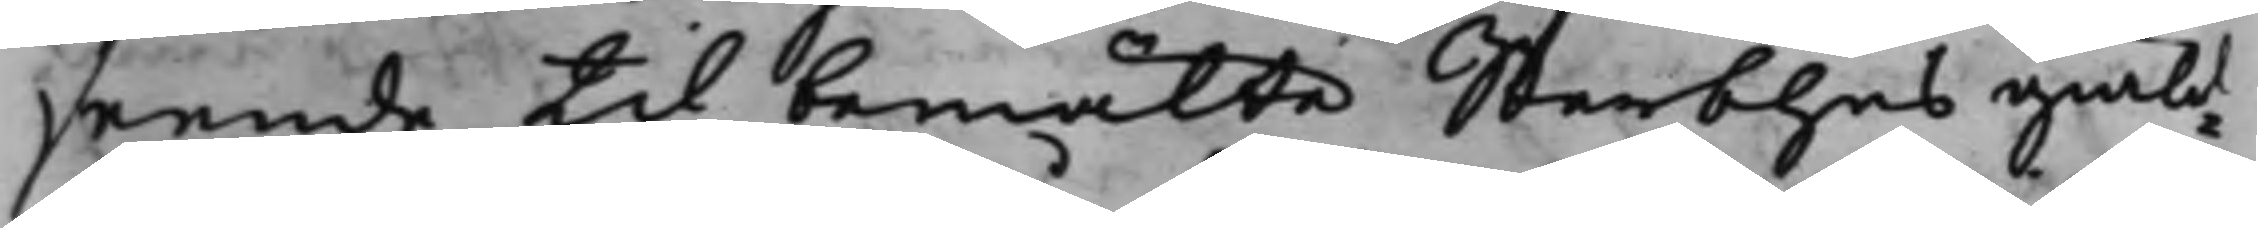seende till bemälte Sterbhus giäld¬
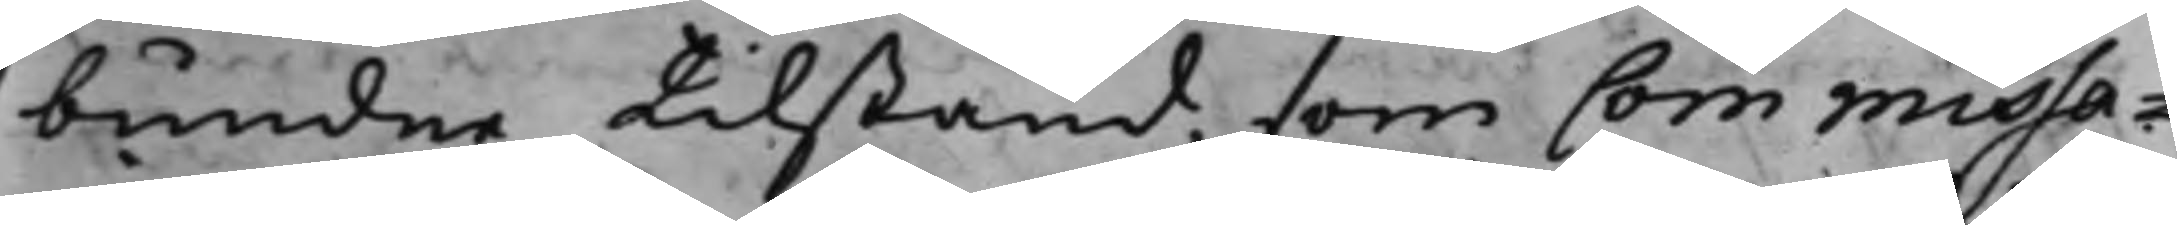bundne tilstånd, som Commissa¬
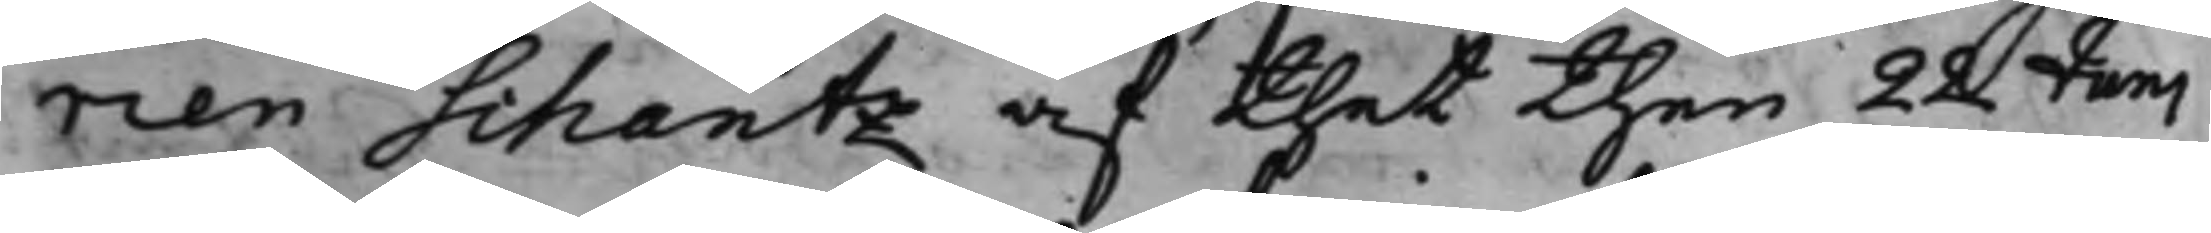rien Schantz af thet then 28 Juni
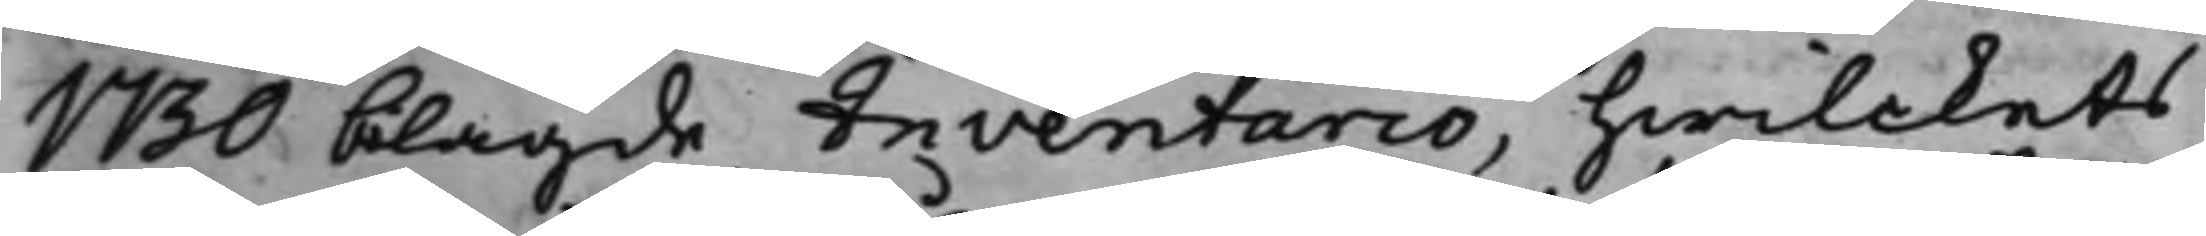1730 blagde Inventario, hwilckets
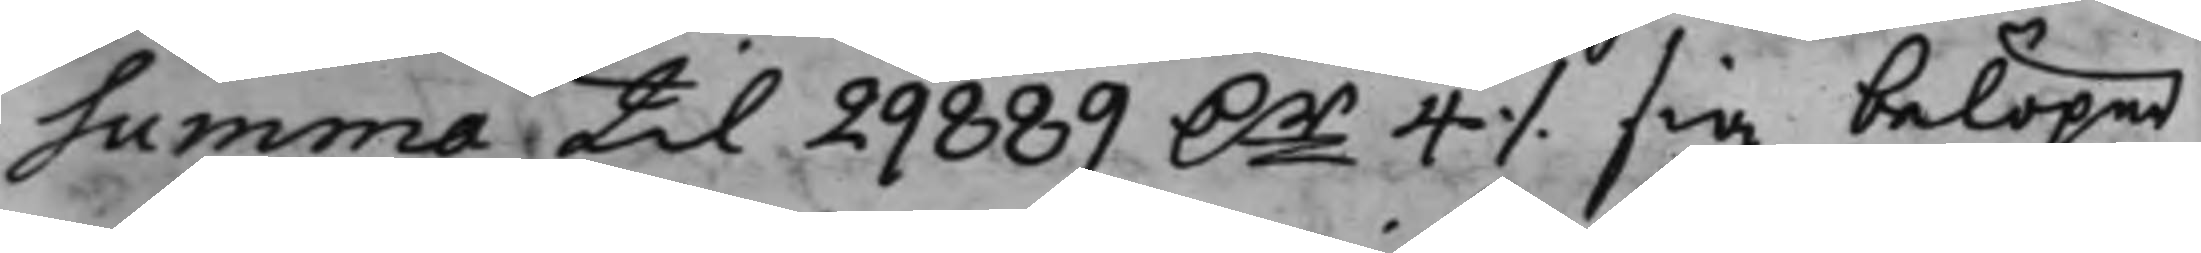summa til 29889 Dr 4 ./. sig belöper
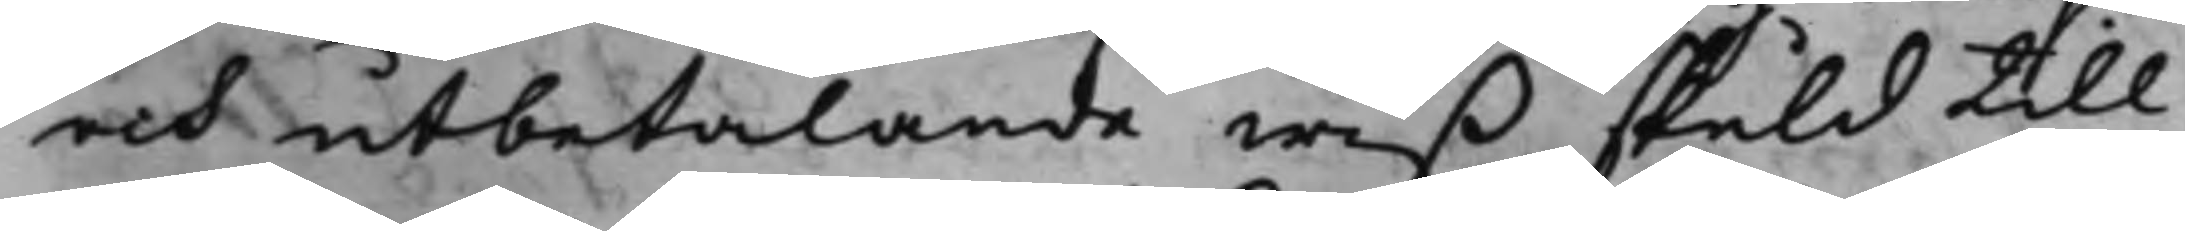och utbetalande wiß skuld till
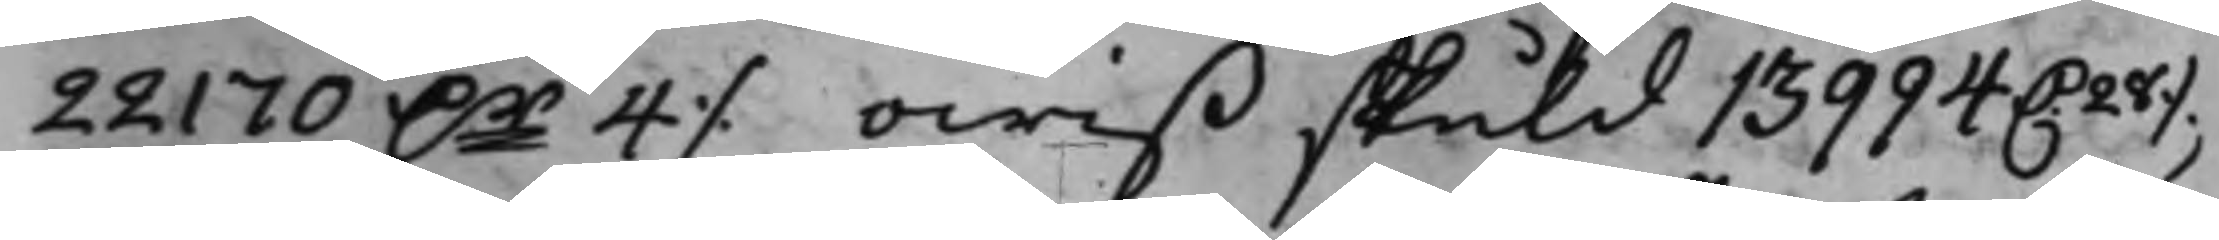221700 Dr 4 ./. owiß skuld 13994 D. 28 ./.,
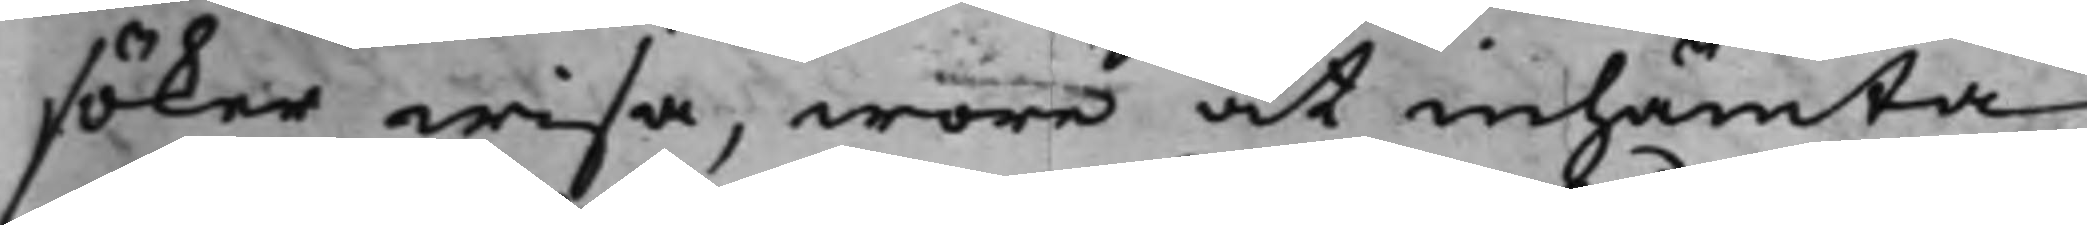söker wisa, wore at inhämta
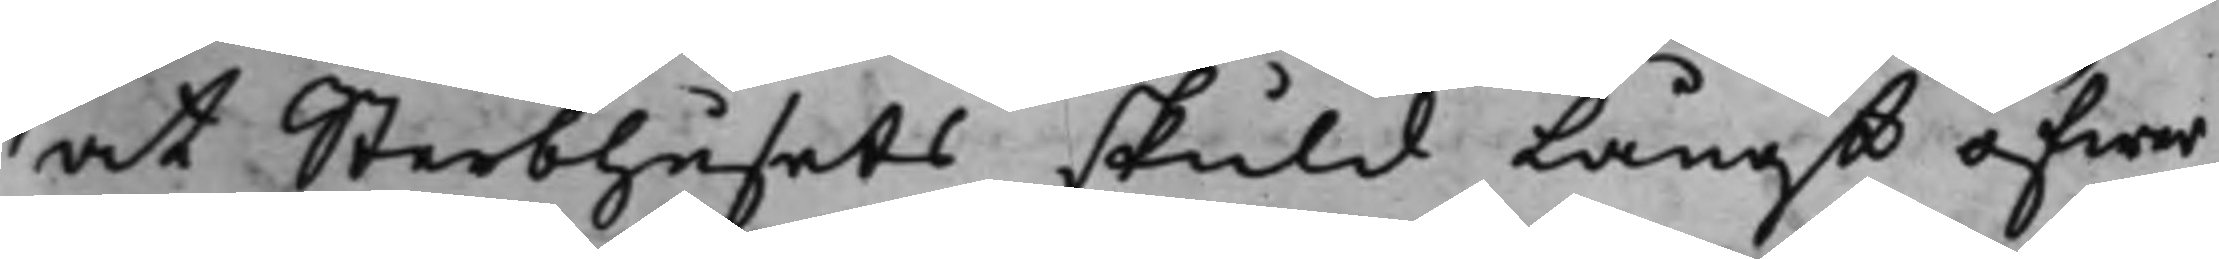at Sterbhusets skuld Långt öfwer
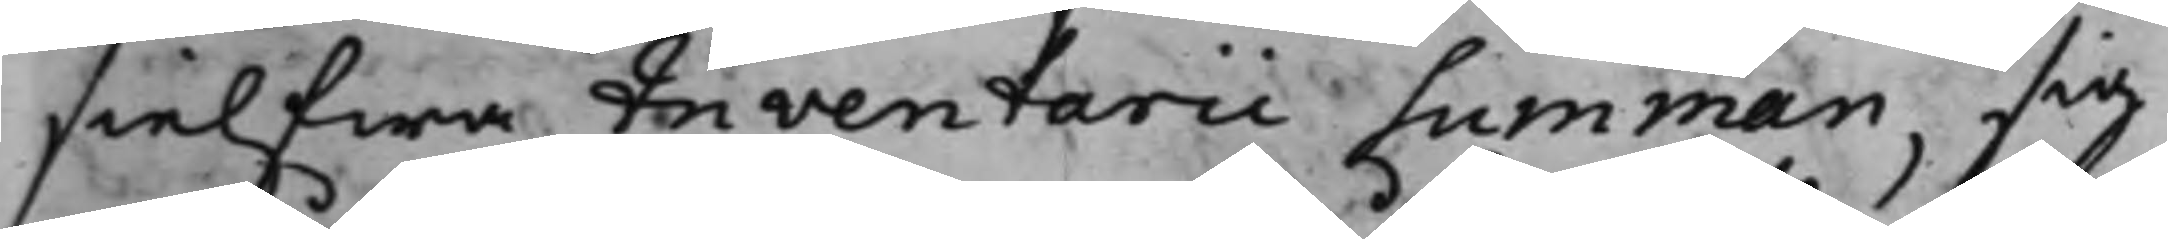sielfwa Inventarii summan, sig
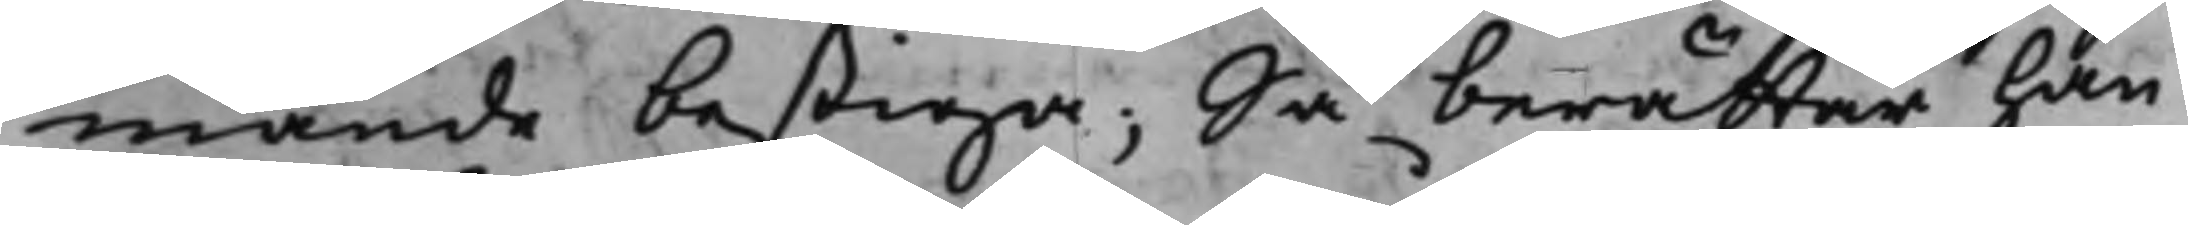månde bestiga; Så berättar han
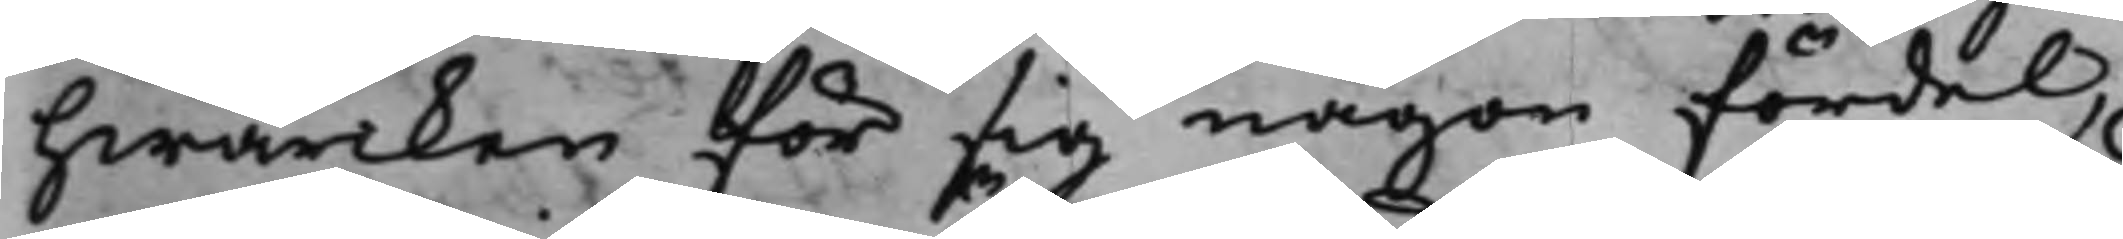hwarken för sig någon fördel,
